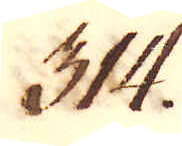314.
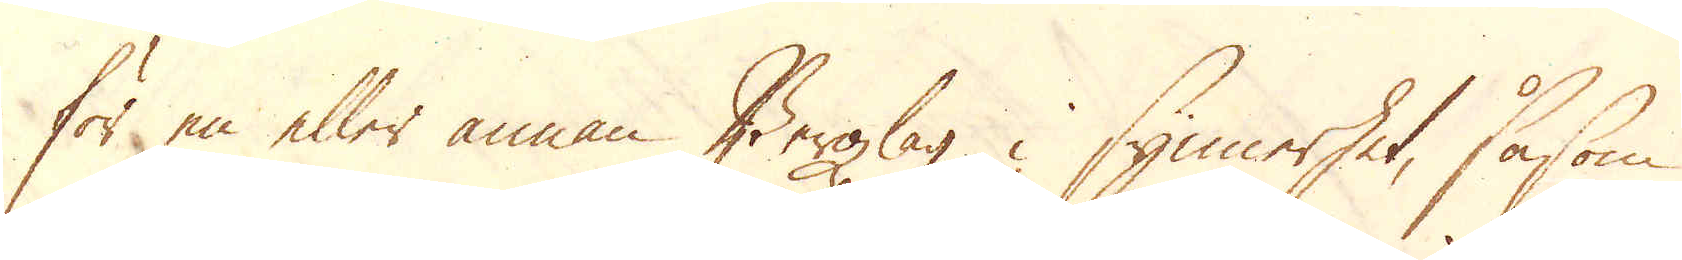för en eller annan Bergzlag i synnerhet, såsom
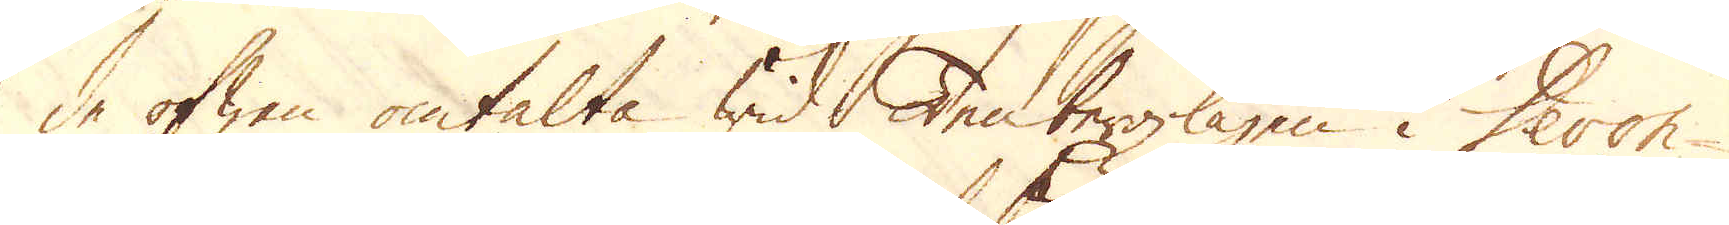de ofwan omtalte wid Tenbergzlagen i Devon-
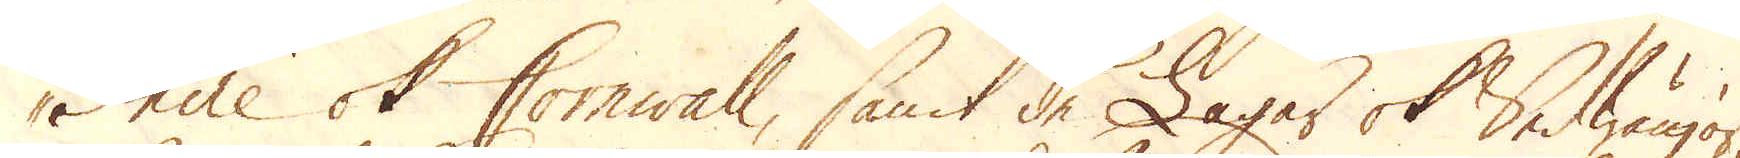shire och Cornwall, samt de Lagar ok Sedwänjor,
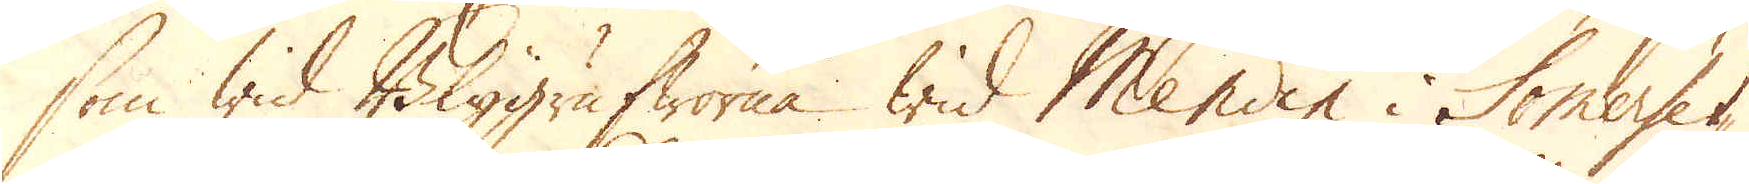som wid Blygrufworna wid Mendip i Somerset-
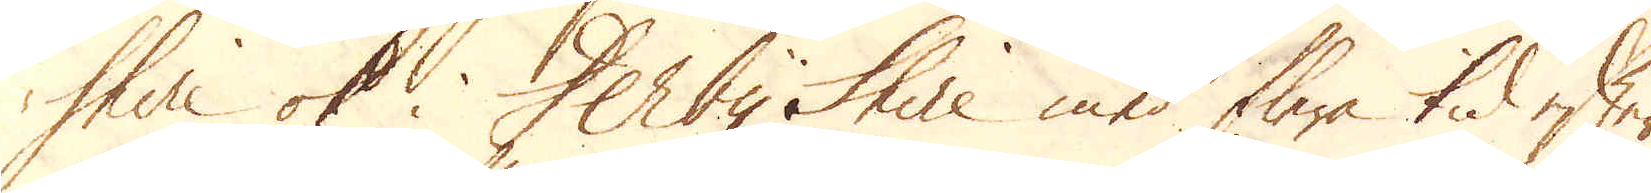shire ok i DerbyShire med flere tid efter
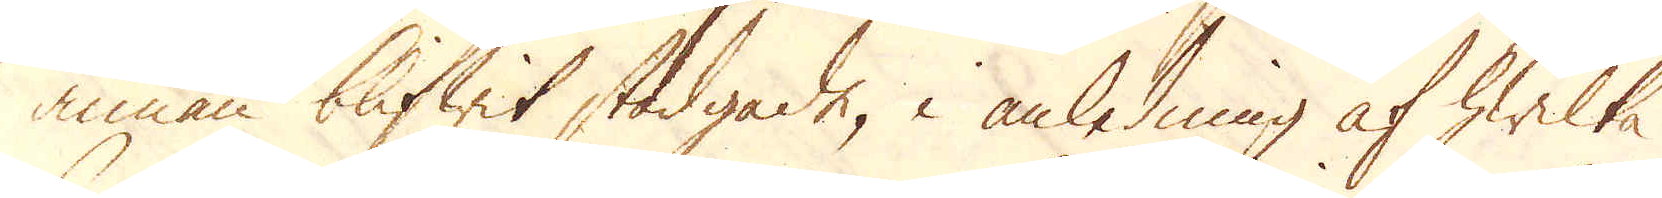annan blifwit stadgade, i anledning af hwilka
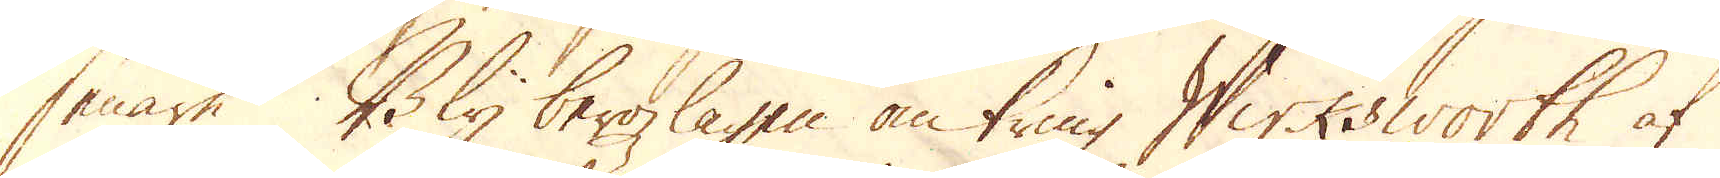senare Bly bergzlagen omkring Wirksworth af
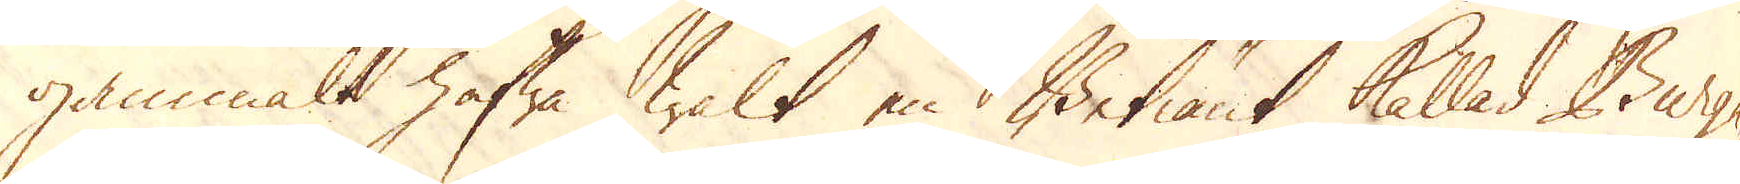gammalt hafwa walt en Betiänt kallad Burgh-
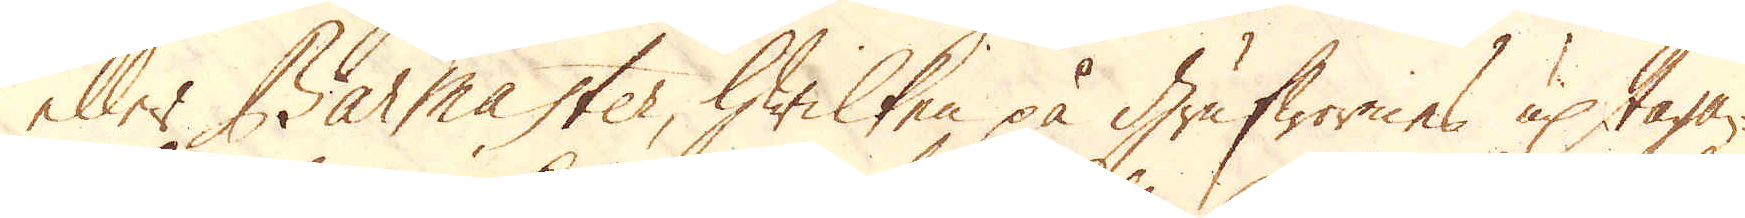eller Barmaster, hwilken på grufwornes uptagan-
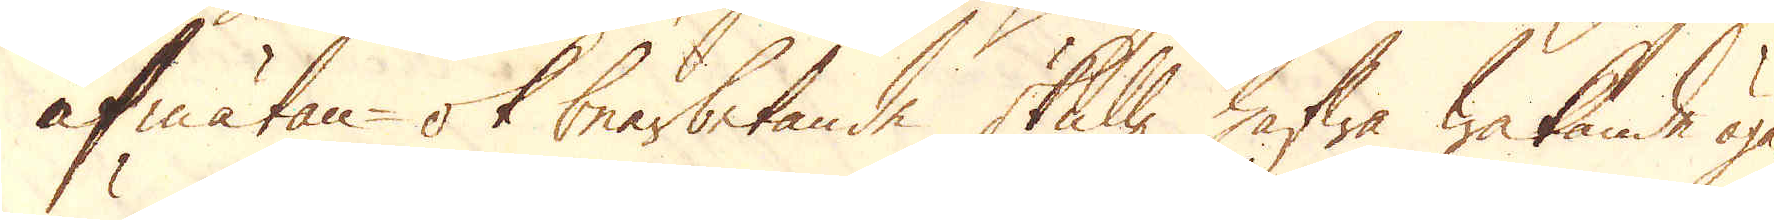afmätan- ok bearbetande skulle hafwa wakande öga,
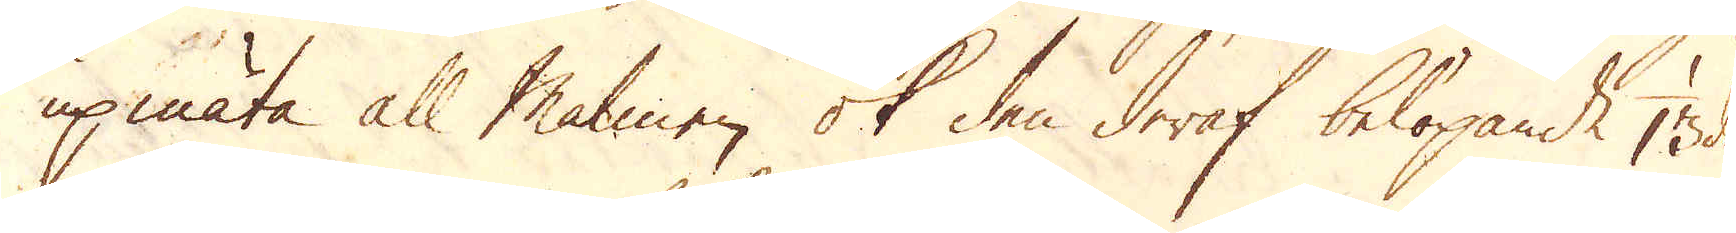upmäta all malmen ok den deraf belöpande 1/13 del
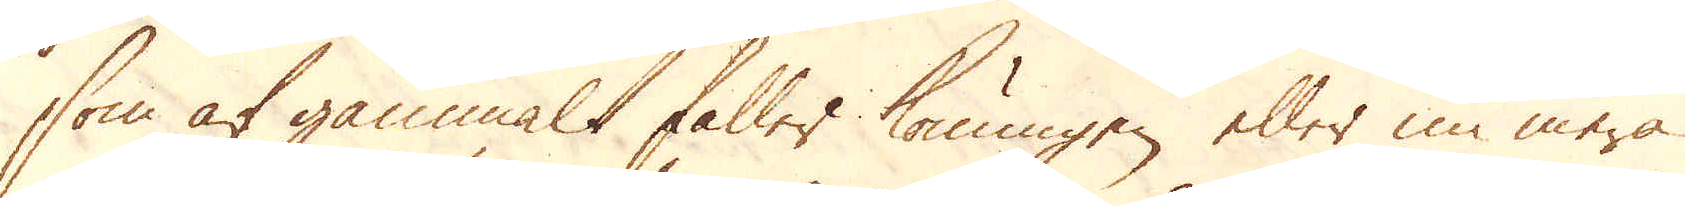som af gammalt faller Konungen eller nu mera
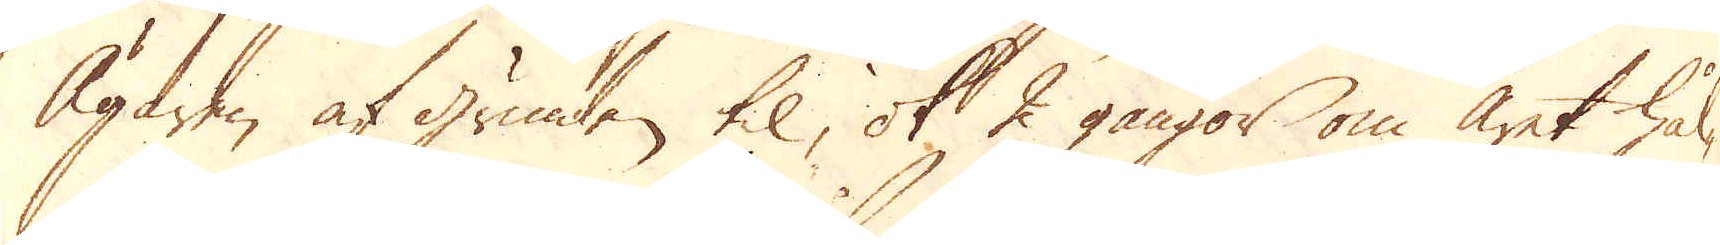Ägaren af grunden til, ok 2 gångor om året hål-
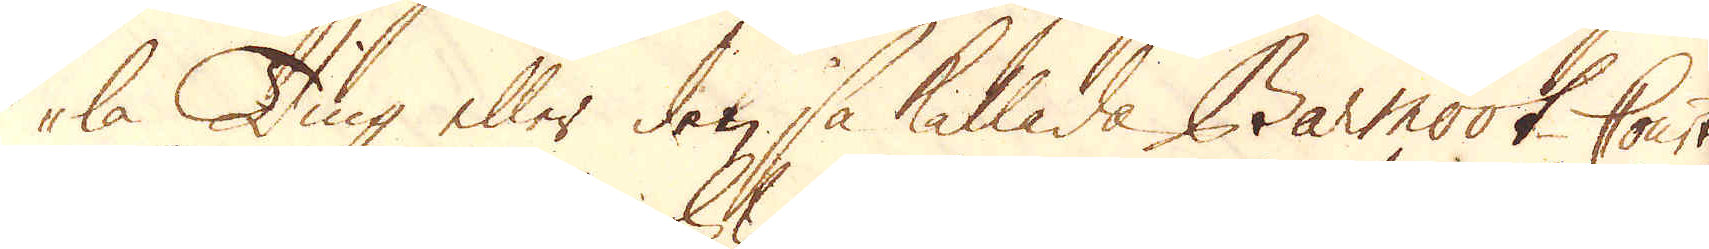la Ting eller den så kallade Barmook-Court,
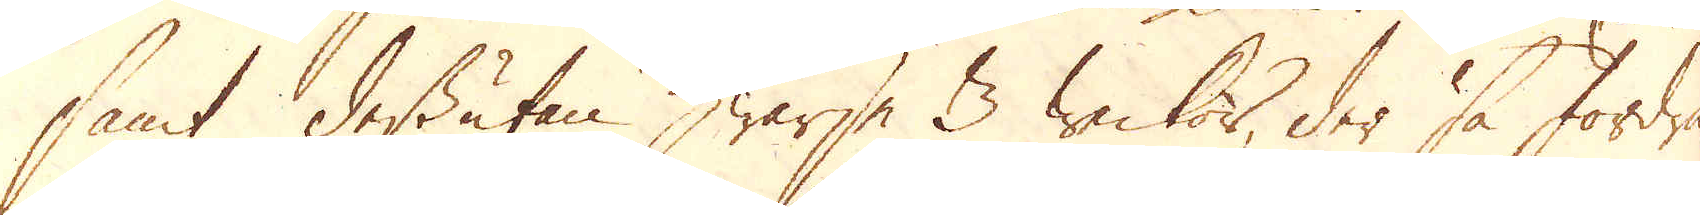samt dessutan hwarje 3 weckor, der så fordra-
